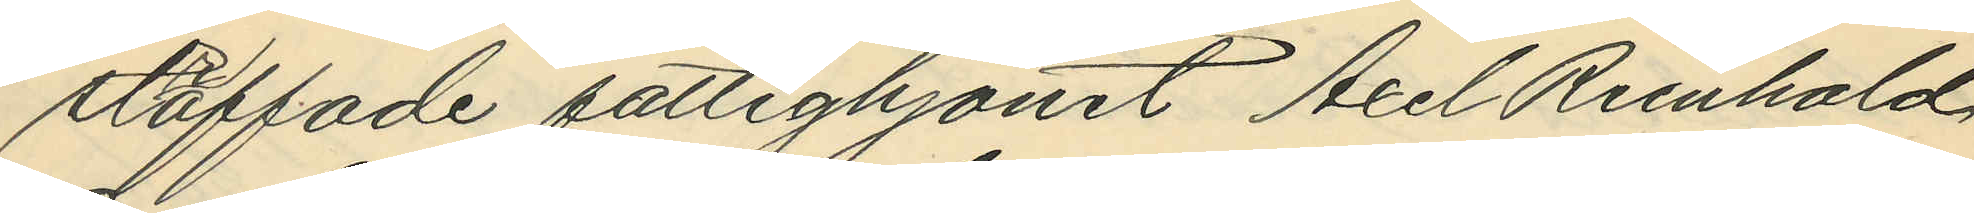straffade fattighjonet Axel Reinhold
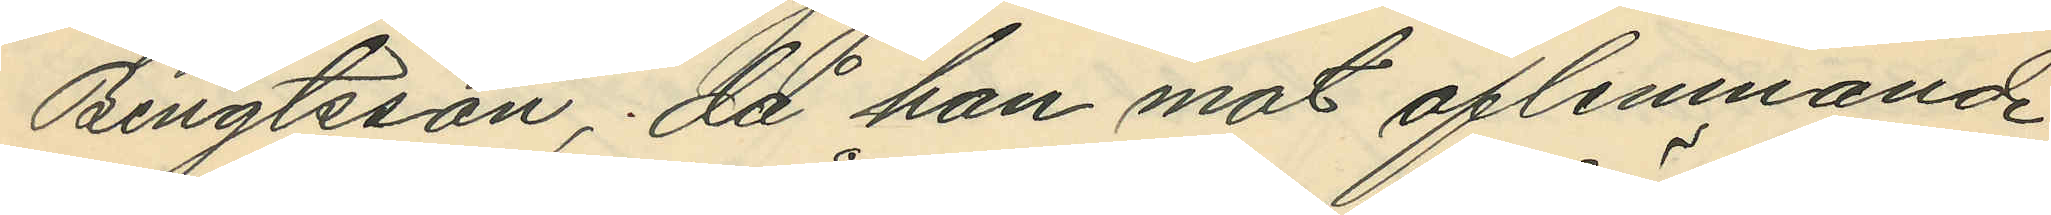Bengtsson; då han mot aflemnande
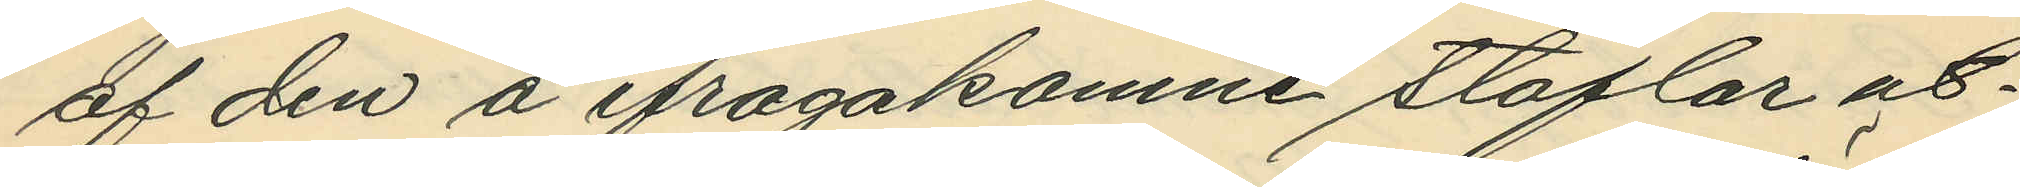af den å ifrågakomne stöflar ut¬
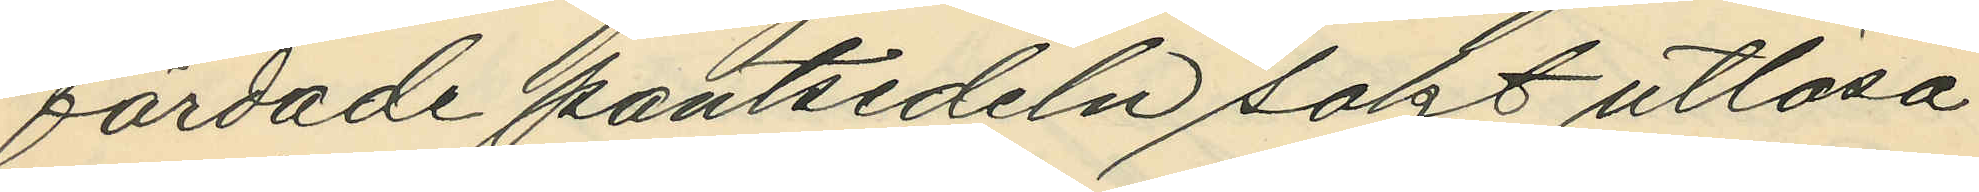färdade pantsedeln sokt utlösa
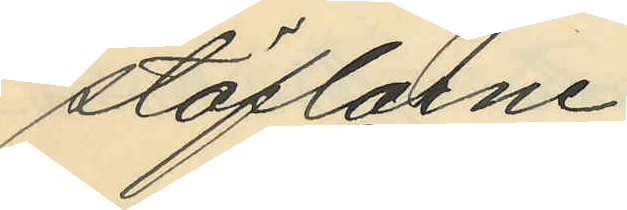stöflarne.
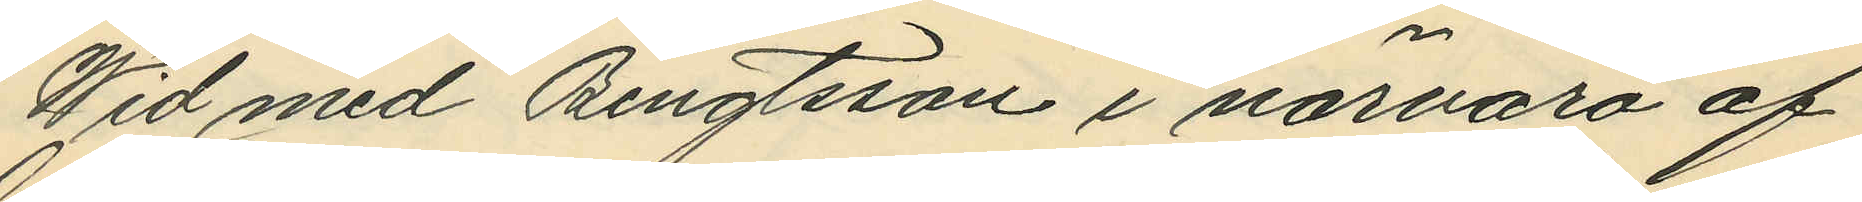Wid med Bengtsson i närvaro af
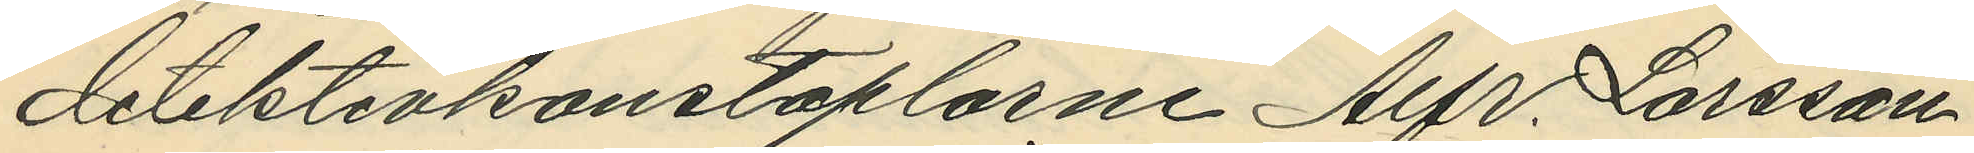detektivkonstaplarne Alfr. Larsson
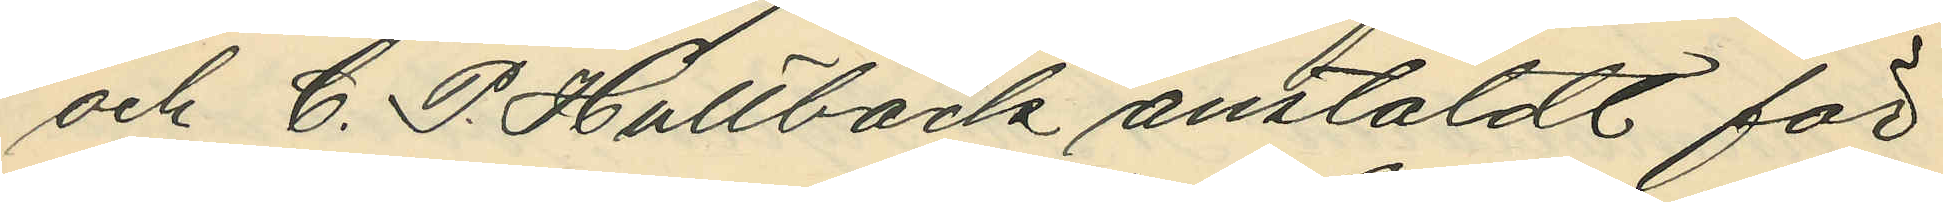och C. P. Hultbäck anstäldt för¬
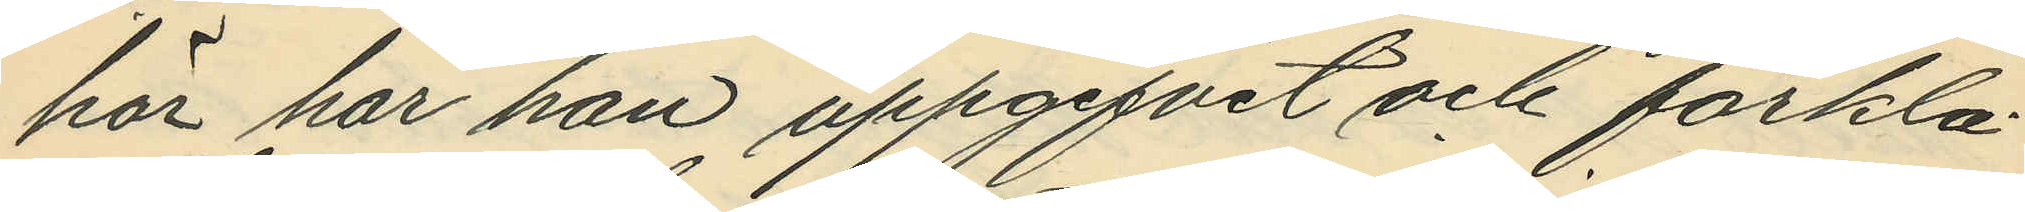hör har han uppgifvit och förkla¬
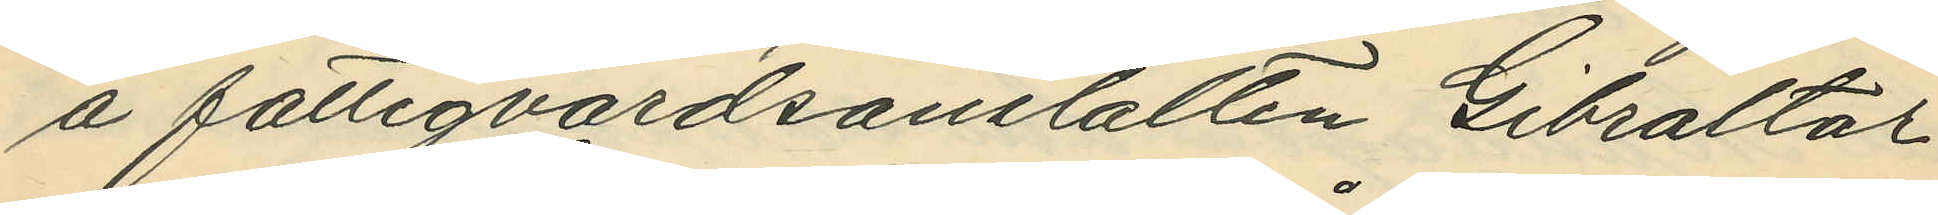å fattigvårdsanstalten Gibraltar
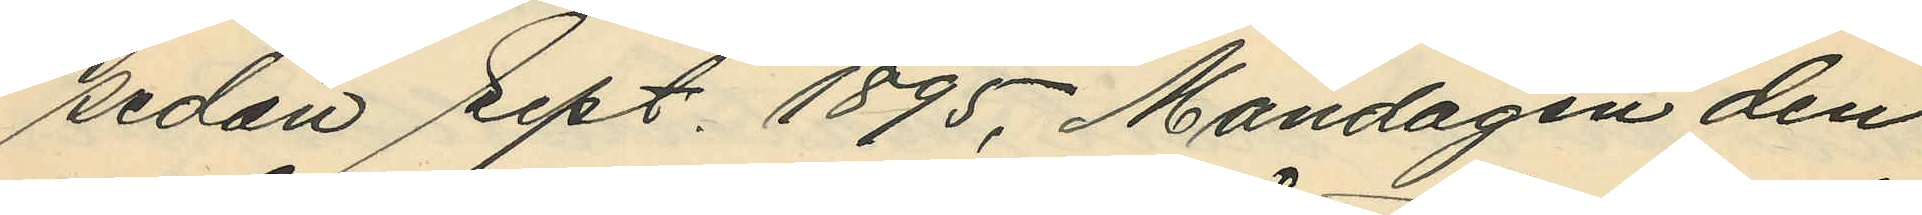sedan Sept. 1895, Måndagen den
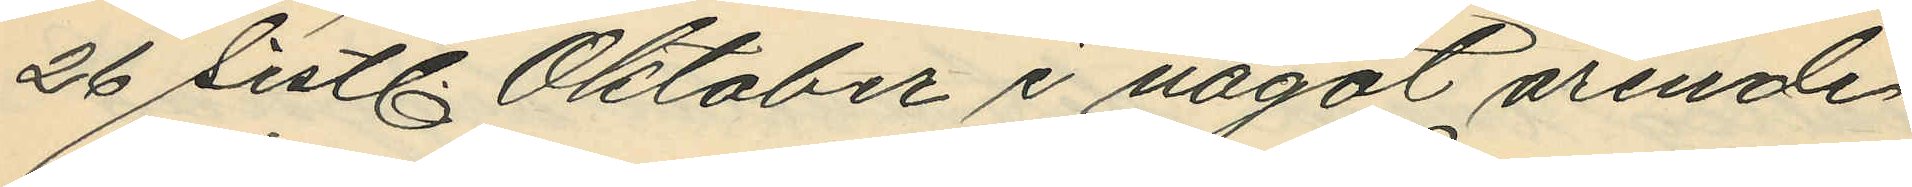26 sistl. Oktober i något ärende
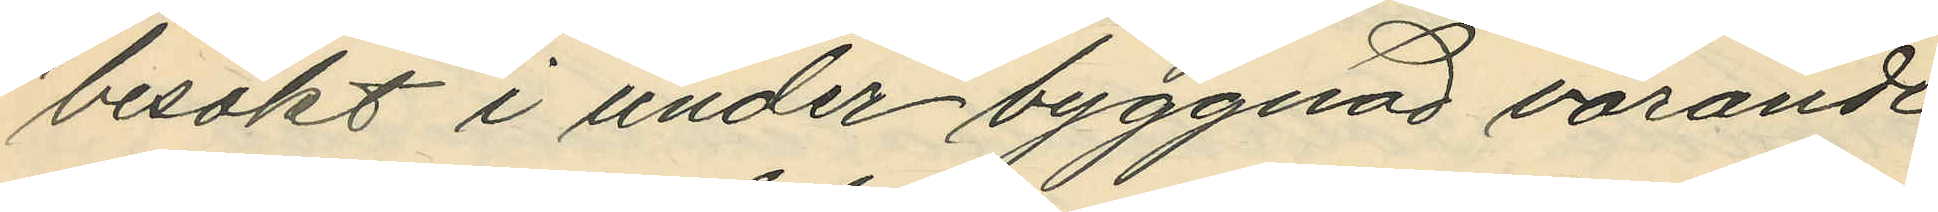besökt i under byggnad varande
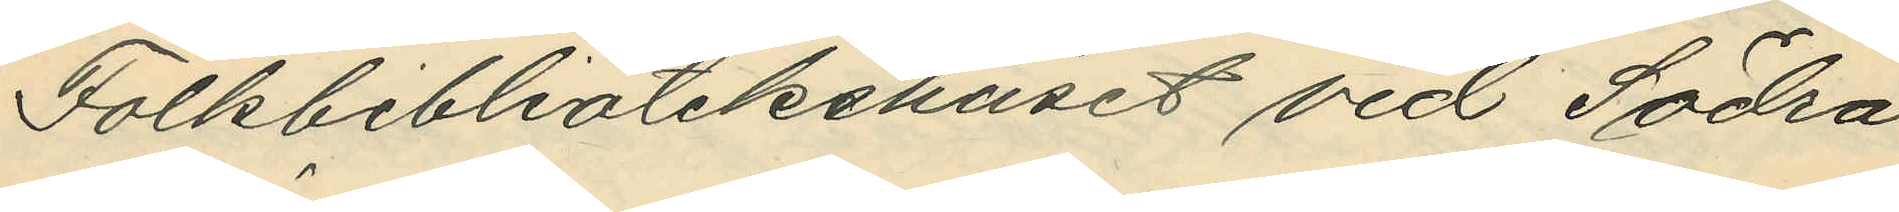Folkbibliotekshuset vid Södra
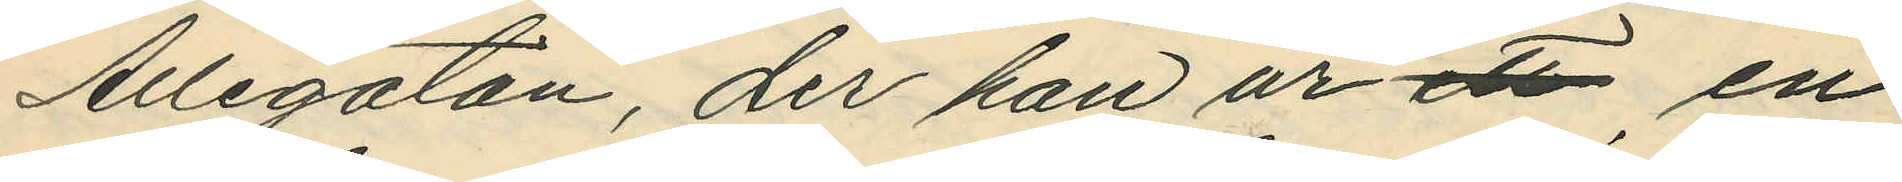Allégatan, der han ur ett en
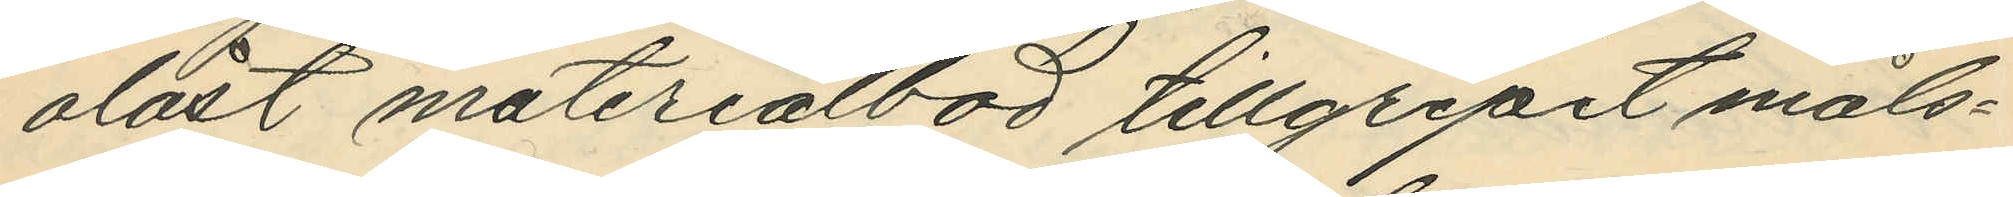olåst materialbod tillgripit måls¬
